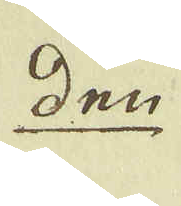den 
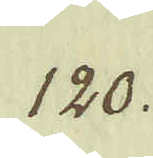120.
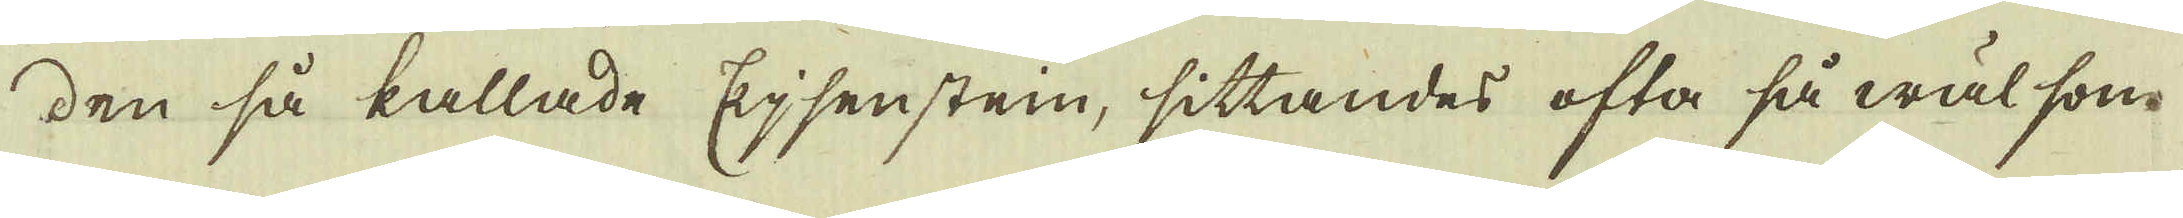den så kallade Ejsensten, sittandes ofta så wäl som
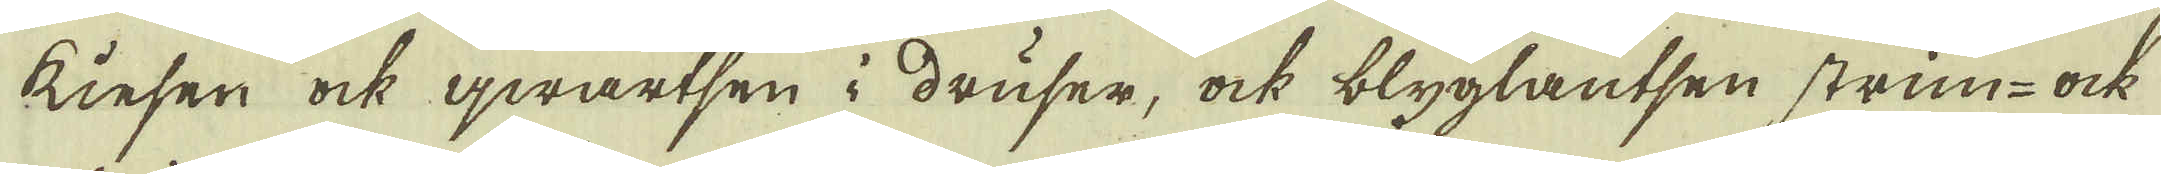Kiesen ock qwartsen i druser, ock blyglantsen strim- ock
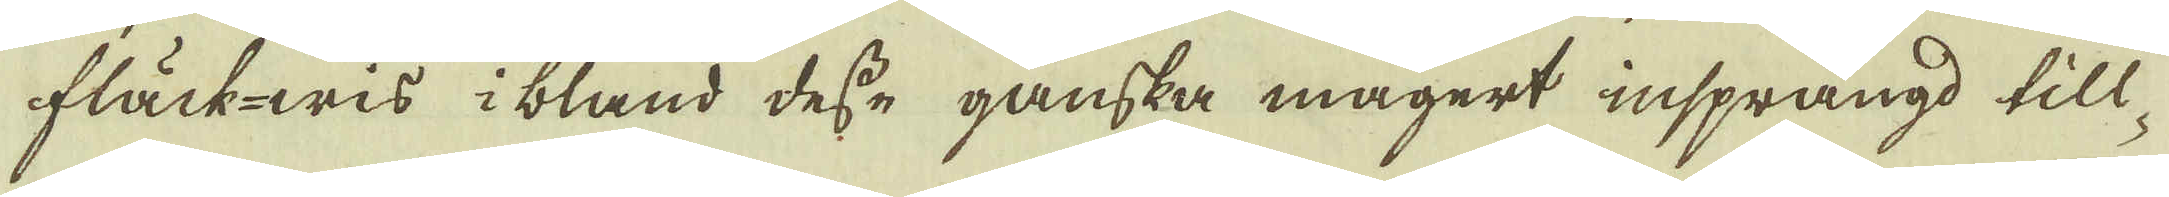fläckwis i bland desse ganska magert insprängd till
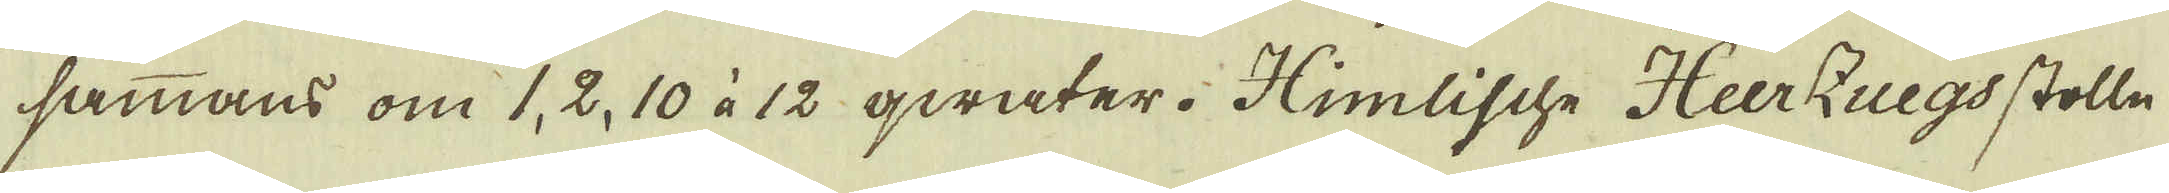sammans om 1, 2, 10 à 12 qwater. Himlische HeerZuegs stolln
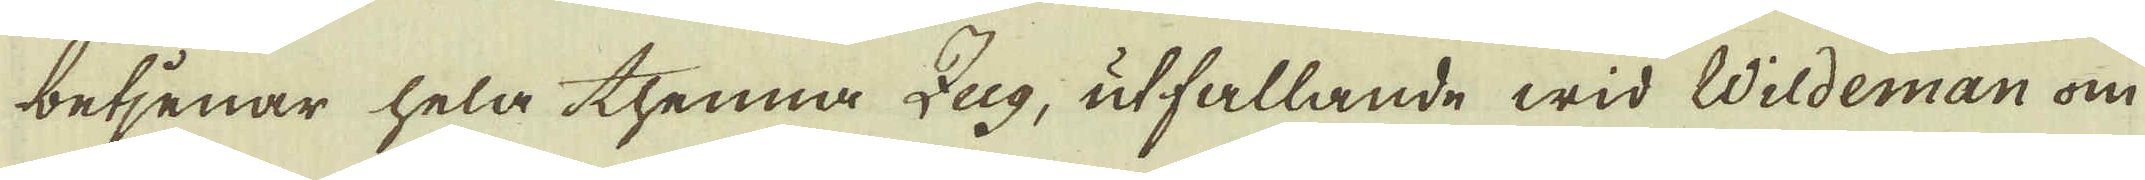betjenar hela thenna Zug, utfallande wid Wildeman om
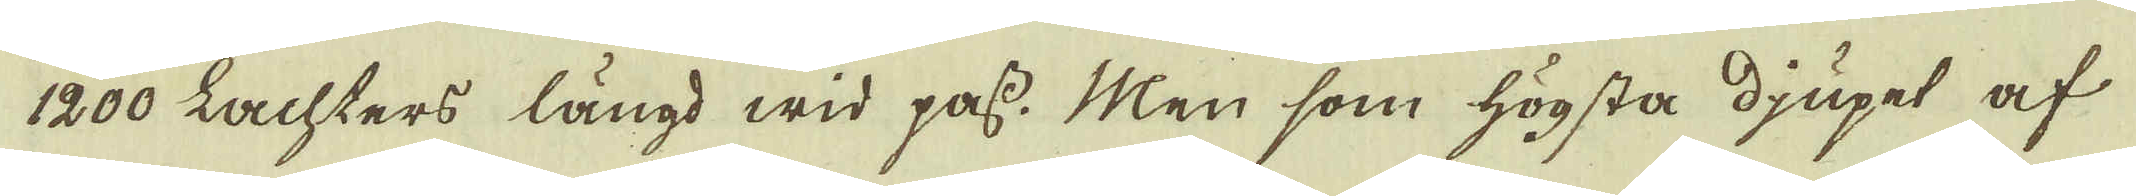1200 Lachters längd wid pass. Men som högsta djupet af
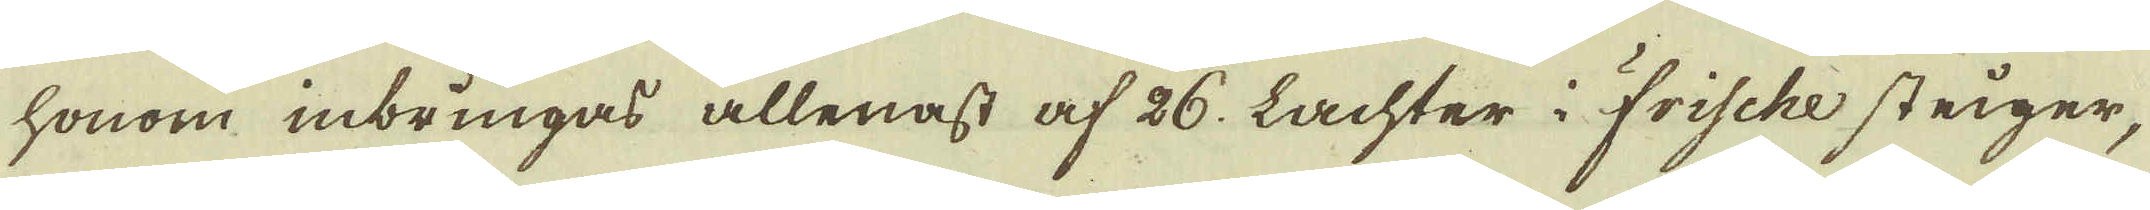honom inbringas allenast af 26. Lachter i Frische steiger,
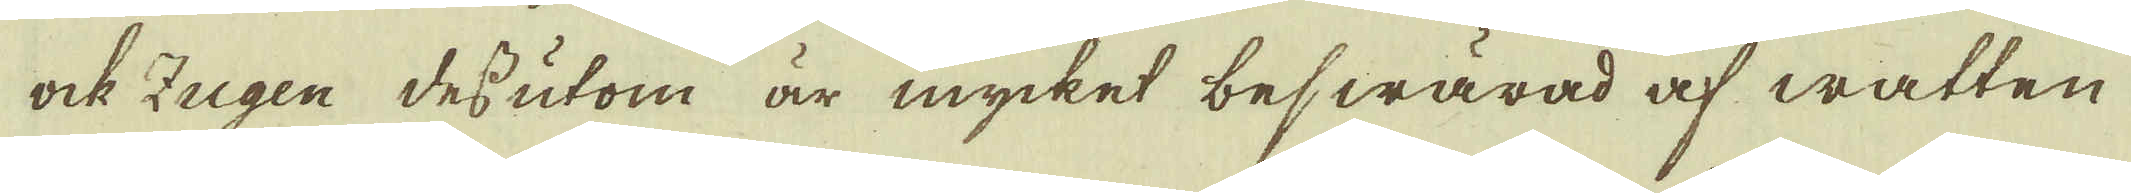ock Zugen des utom är mycket beswärad af watten
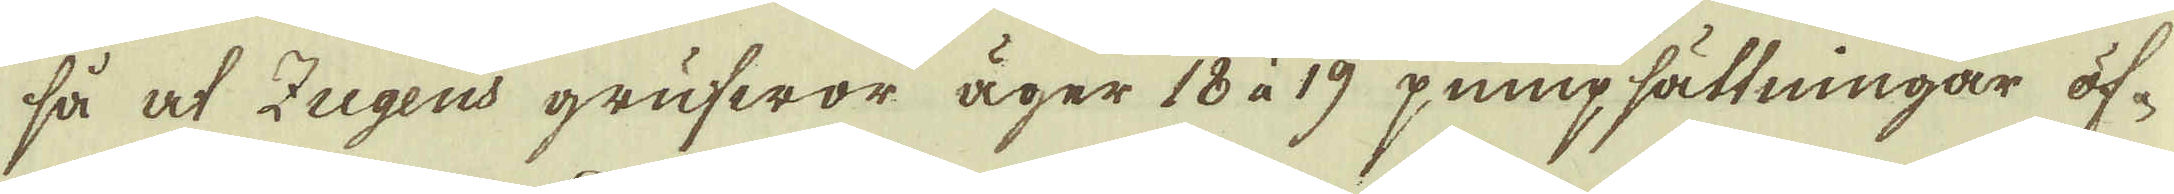så at Zugens grufwor äger 18 à 19 pumpsättningar öf-
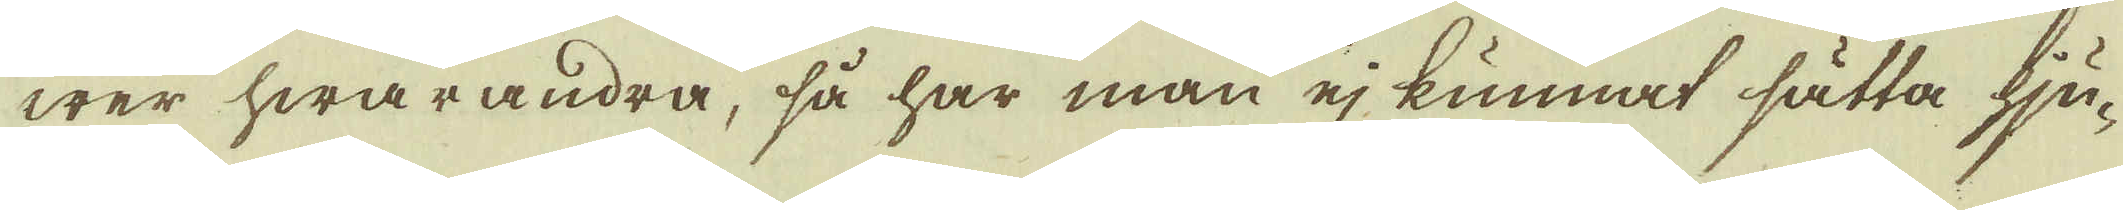wer hwarandra, så har man ej kunnat sätta hju-
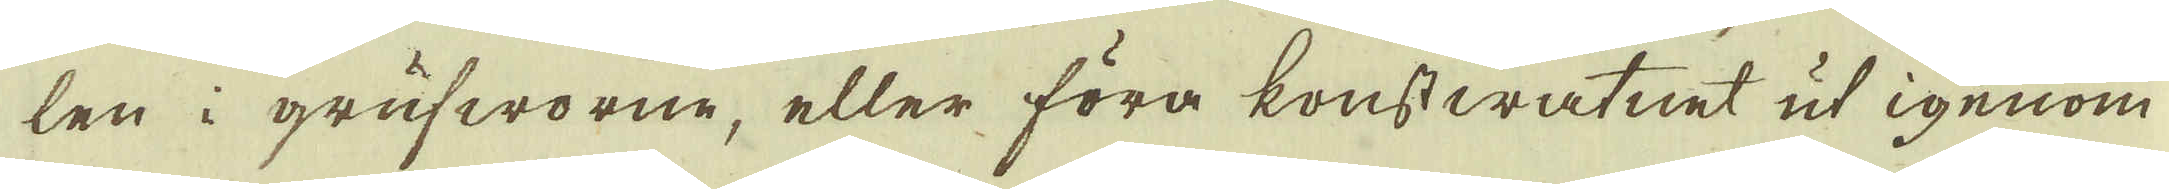len i grufworne, eller föra konstwatnet ut igenom
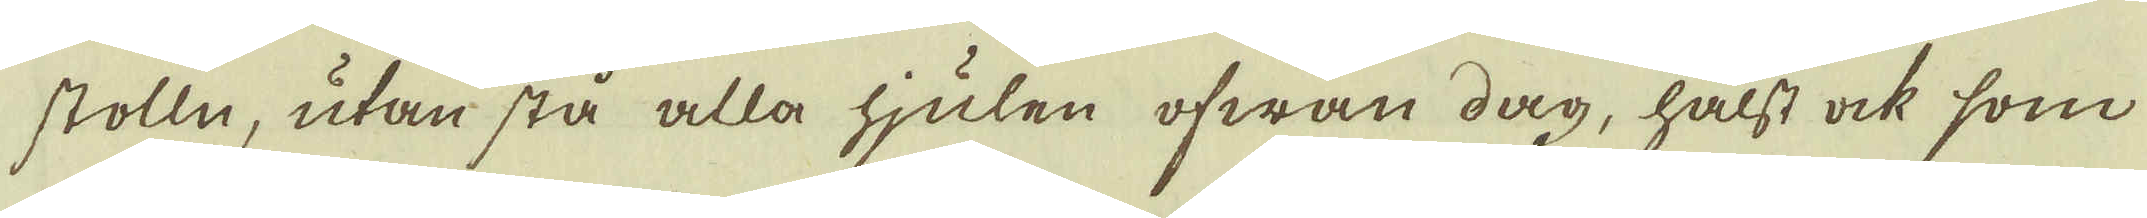stolln, utan stå alla hjulen ofwan dag, hälst ock som
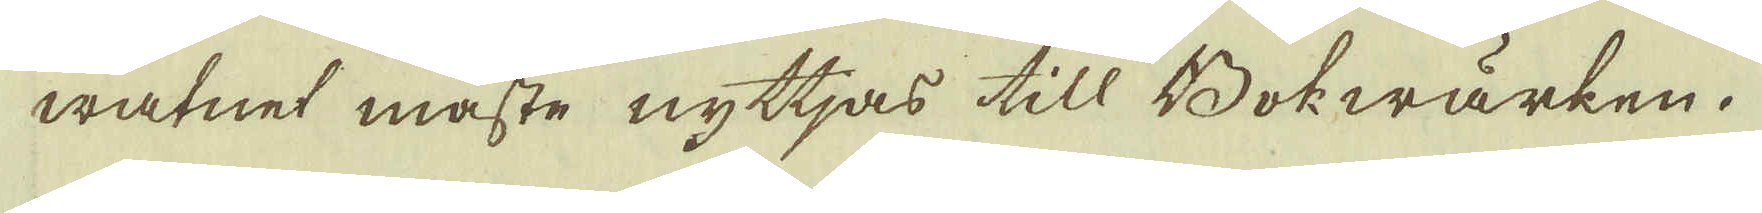watnet måste nyttjas till Bokwärken.
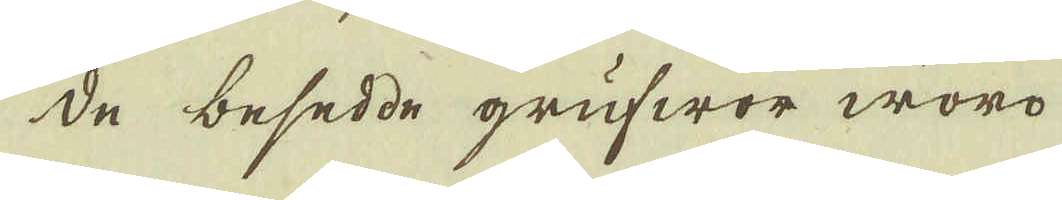De besedde grufwor, woro
